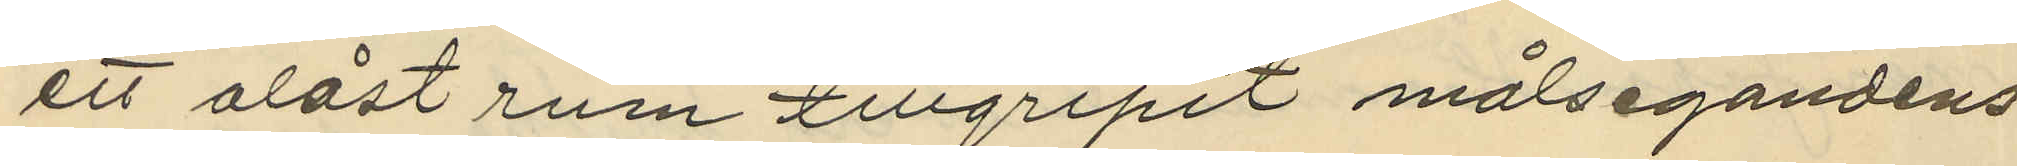ett olåst rum tillgripit målsegandens
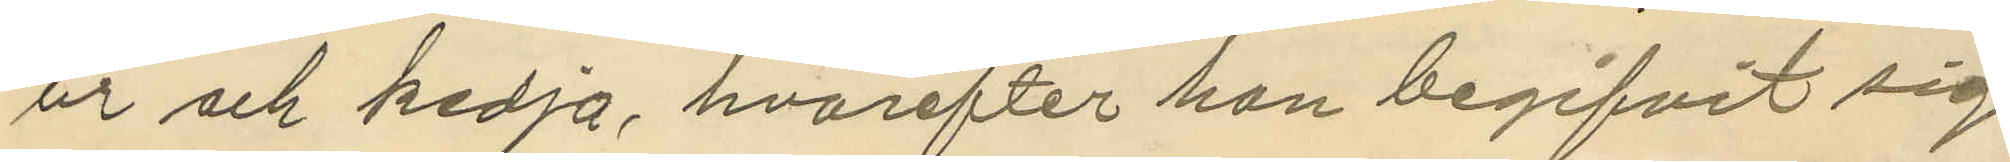ur och kedja, hvarefter han begifvit sig
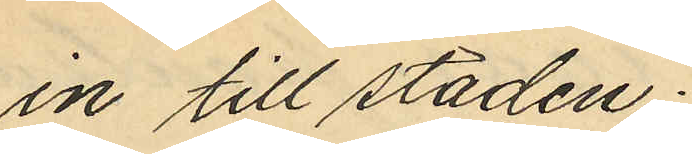in till staden;
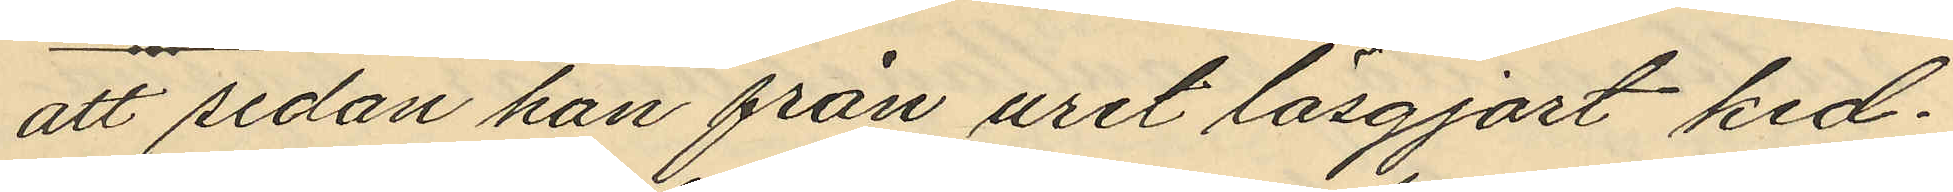att sedan han från uret lösgjort ked¬
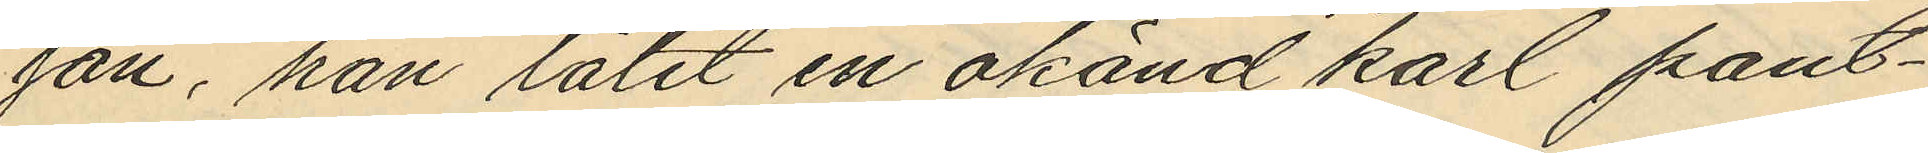gan, han låtit en okänd karl pant¬
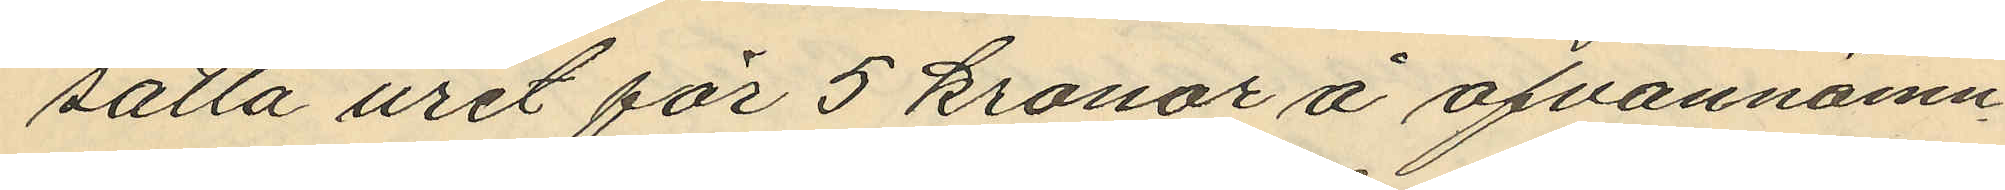sätta uret för 5 kronor å ofvannämn¬
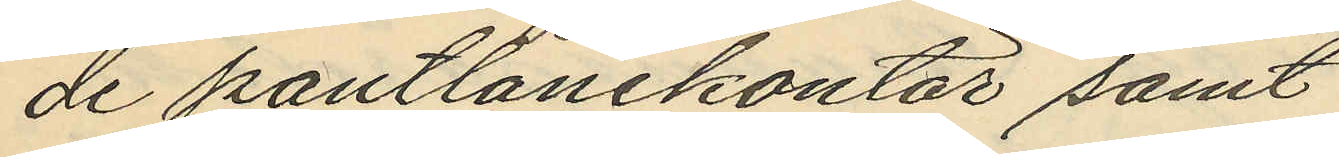de pantlånekontor samt
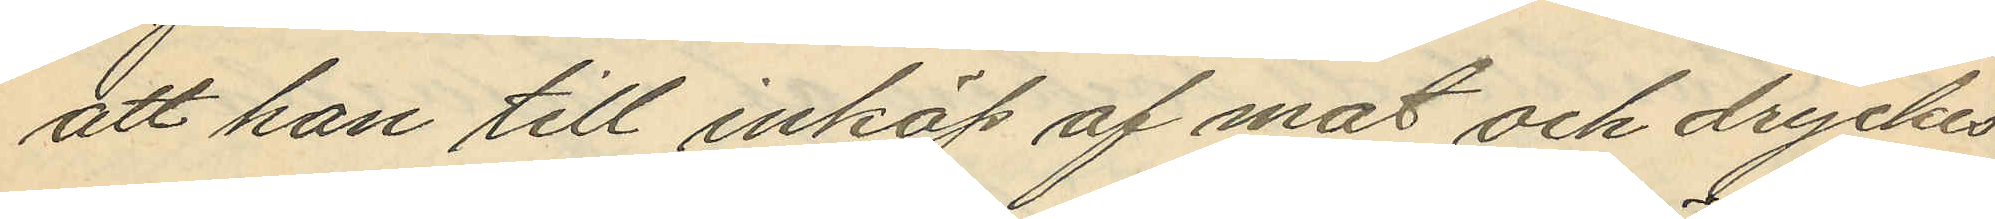att han till inköp af mat och dryckes¬
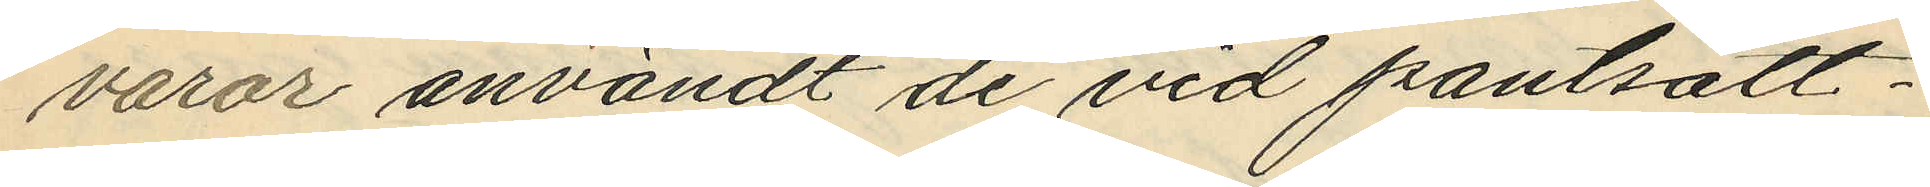varor användt de vid pantsätt¬
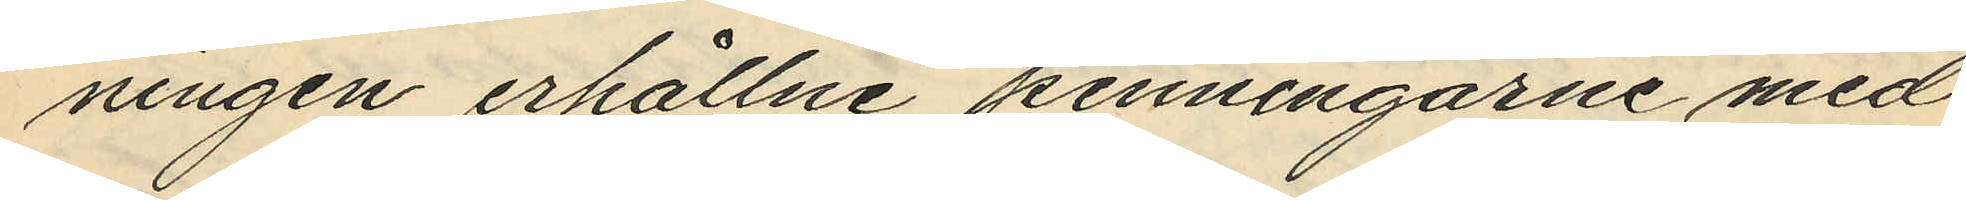ningen erhållne penningarne med
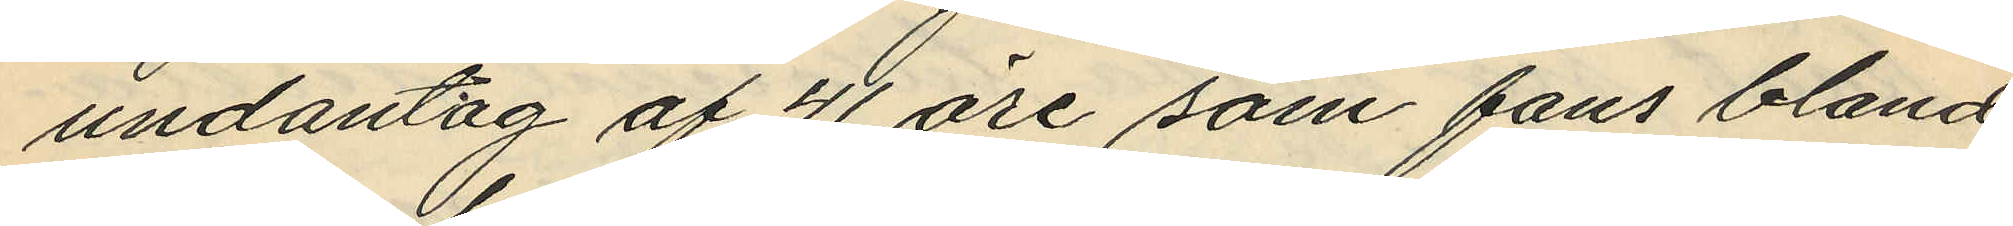undantag af 41 öre som fans bland
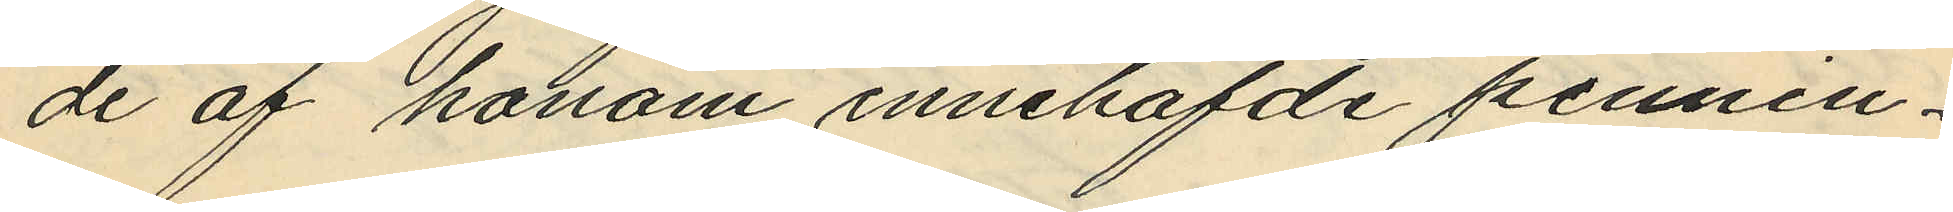de af honom innehafde pennin¬
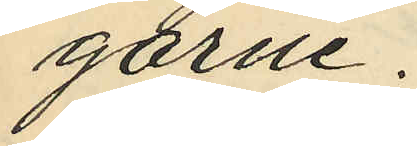garne.
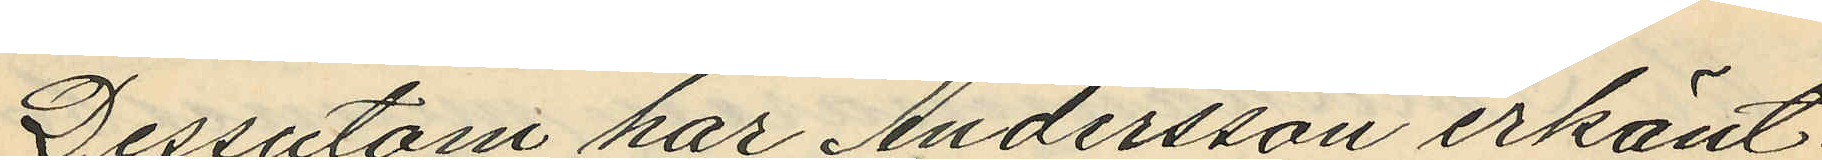Dessutom har Andersson erkänt
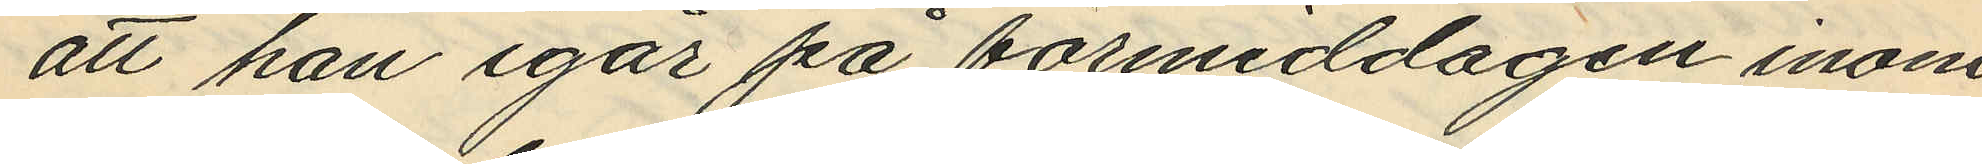att han igår på förmiddagen inom
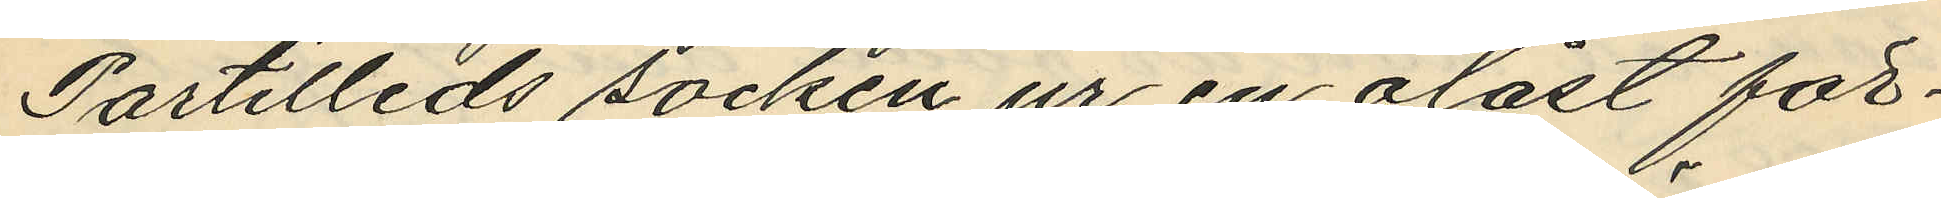Partilleds socken ur en olåst för¬
